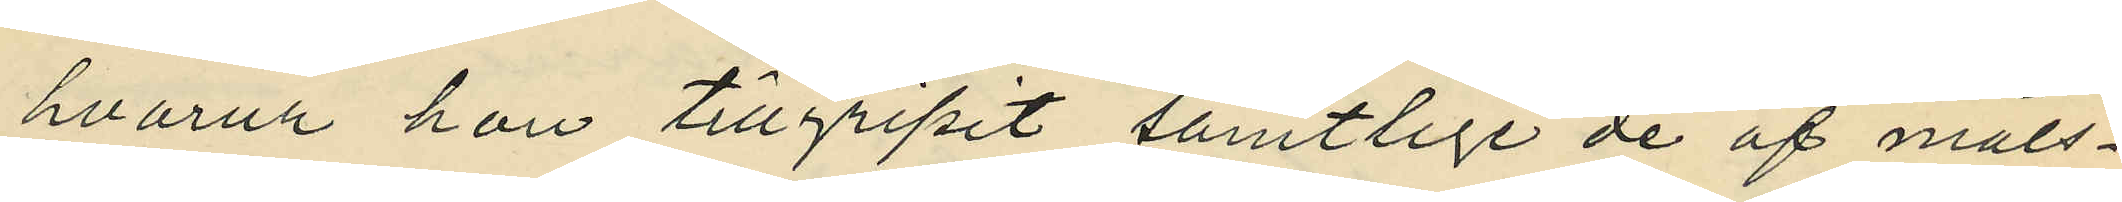hvarur hon tillgripit samtlige de af måls¬
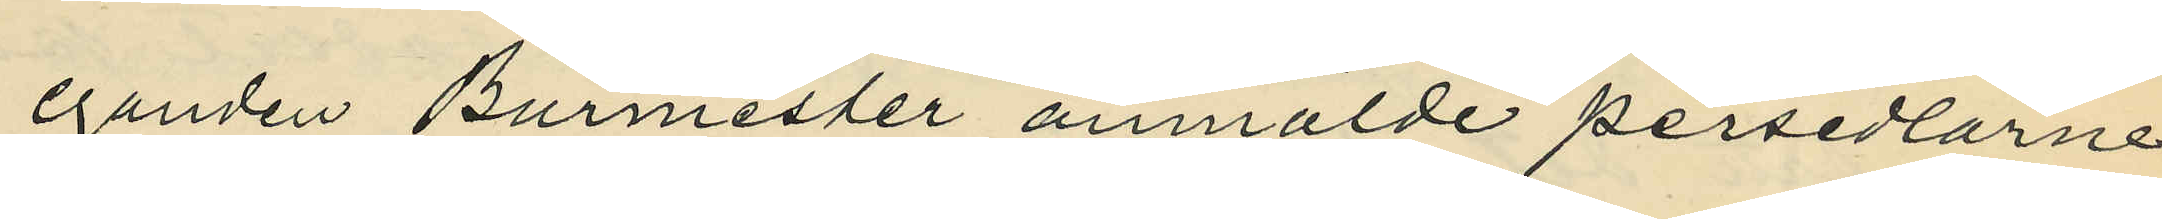eganden Burmester anmälde persedlarne
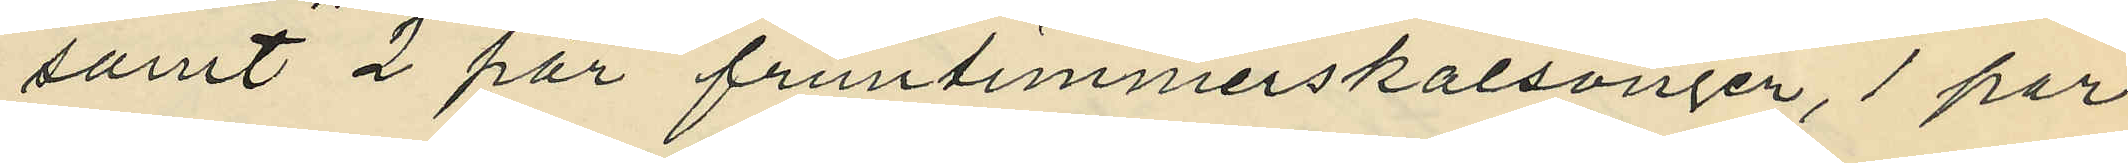samt 2 par fruntimmerskalsonger, 1 par
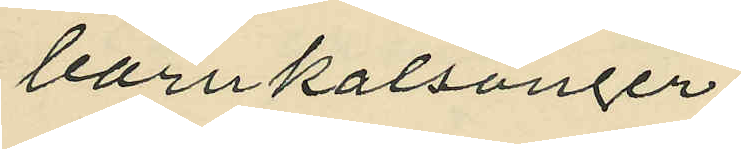barnkalsonger,
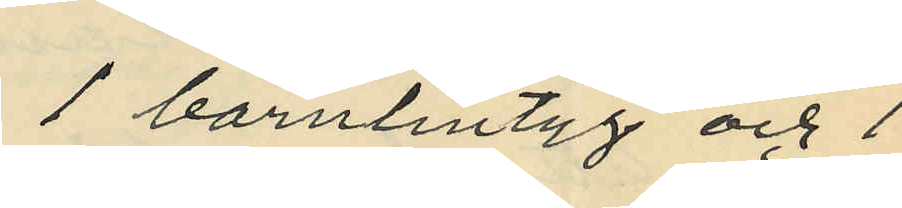1 barnlintyg och 1
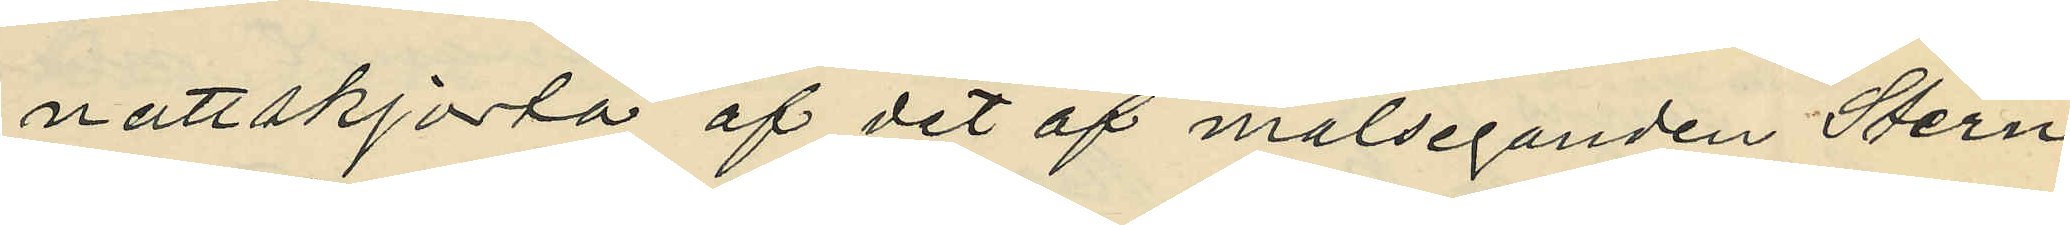nattskjorta af det af målseganden Stern
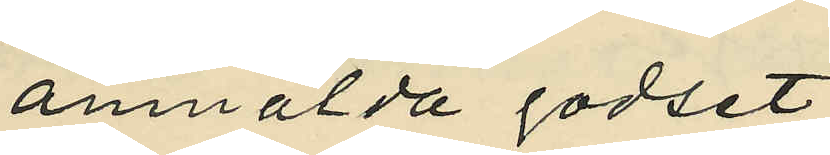anmälda godset;
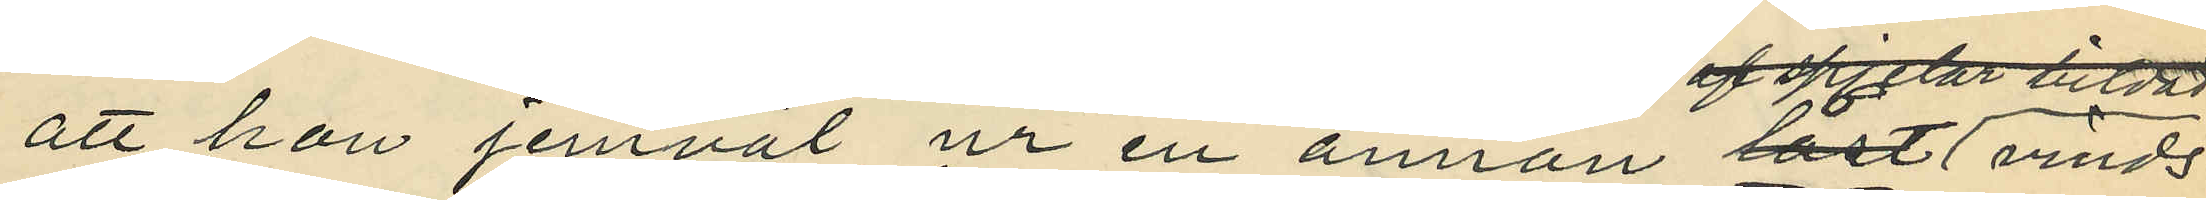att han jemväl ur en annan låst vinds¬
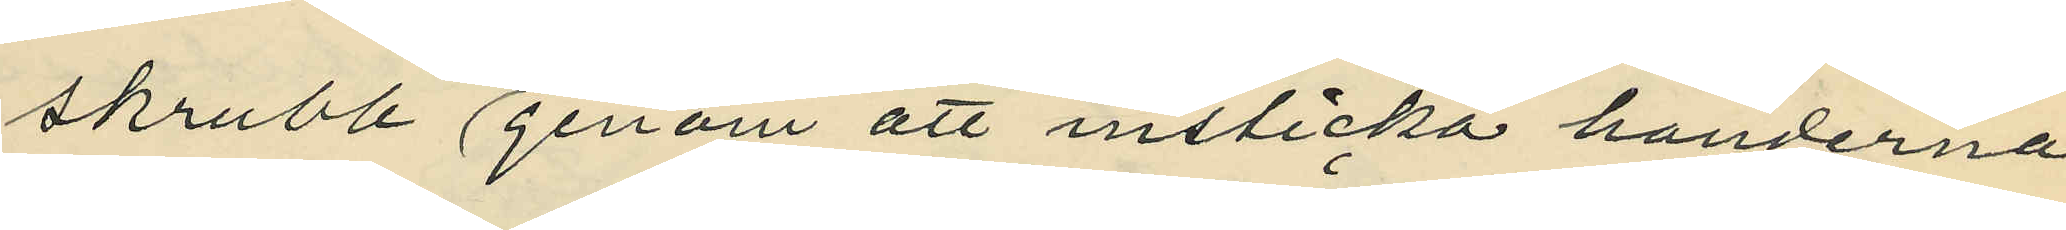skrubb genom att insticka händerna
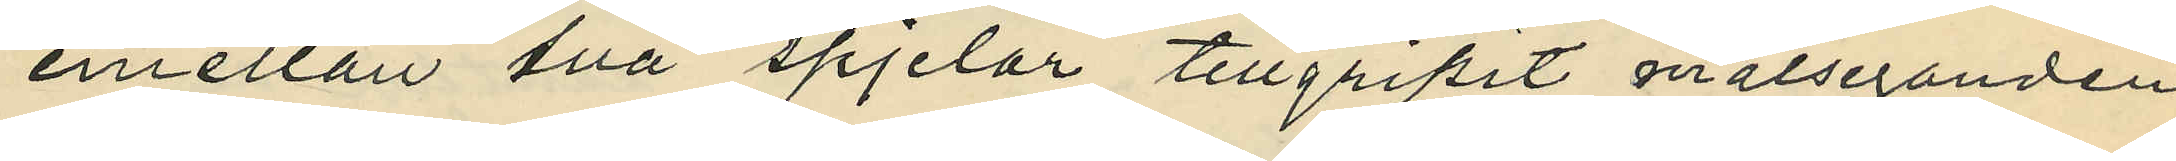emellan två spjelor tillgripit målseganden
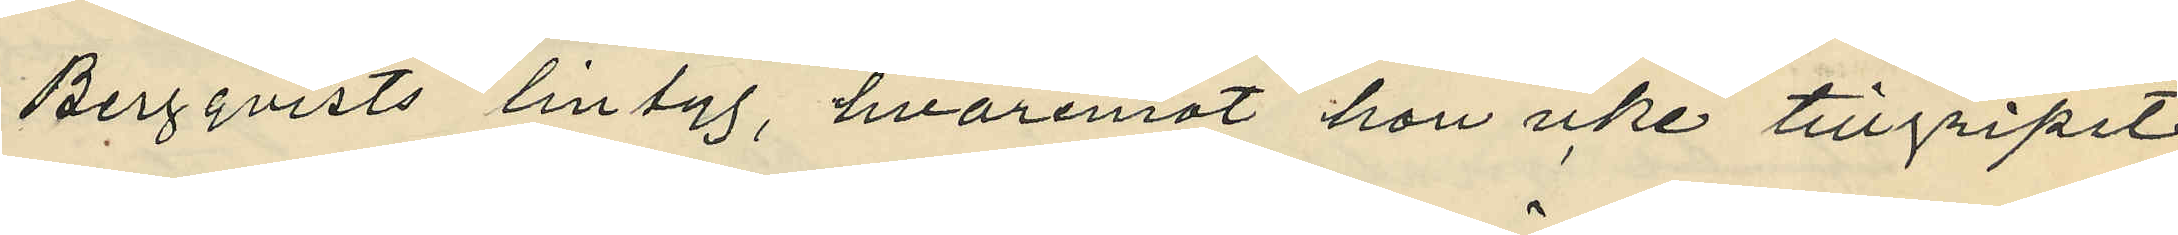Bergqvists lintyg, hvaremot hon icke tillgripit
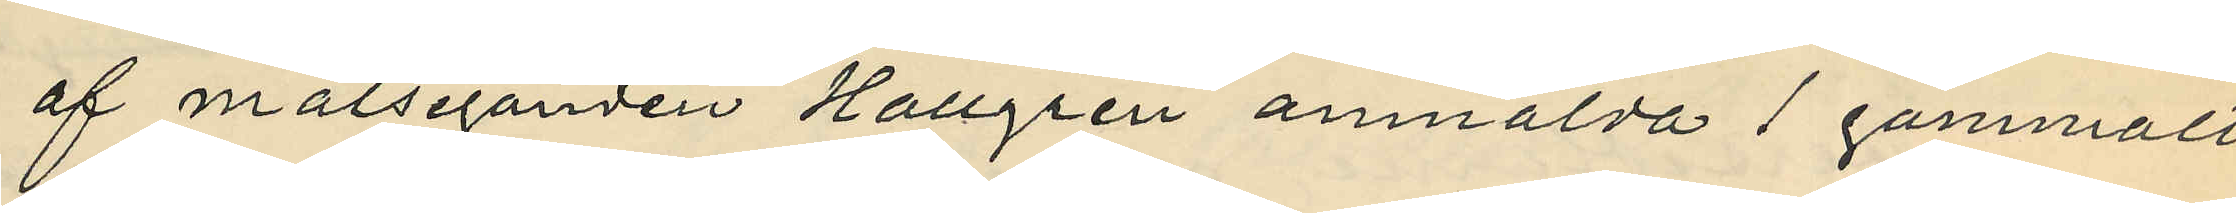af målseganden Hallgren anmälda 1 gammalt
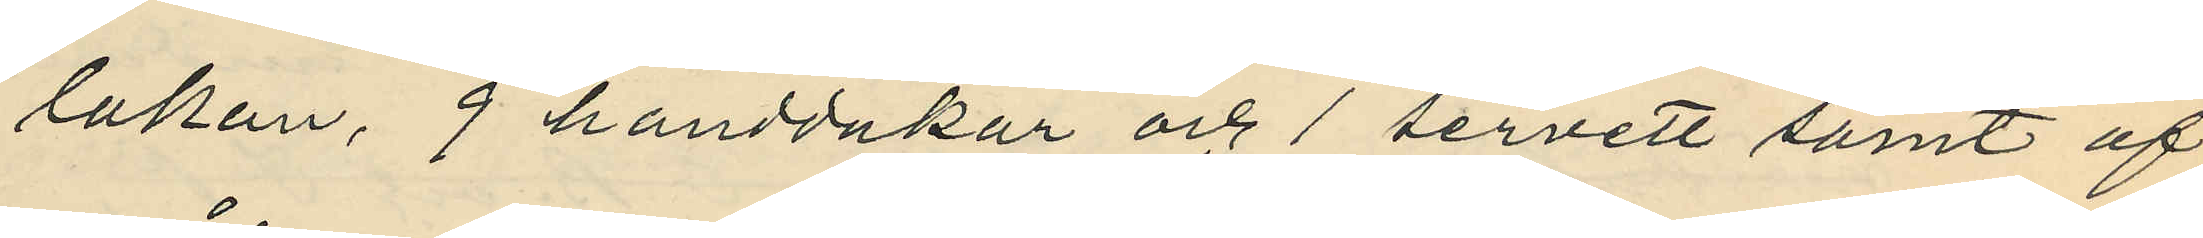lakan, 9 handdukar och 1 servett samt af
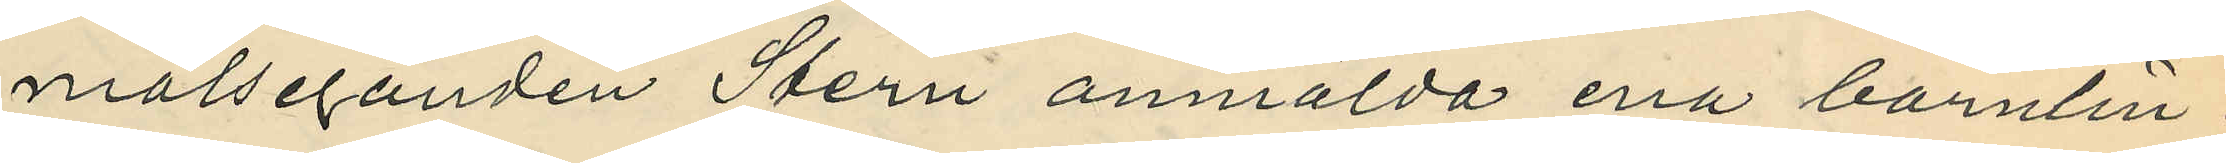målseganden Stern anmälda ena barnlin¬
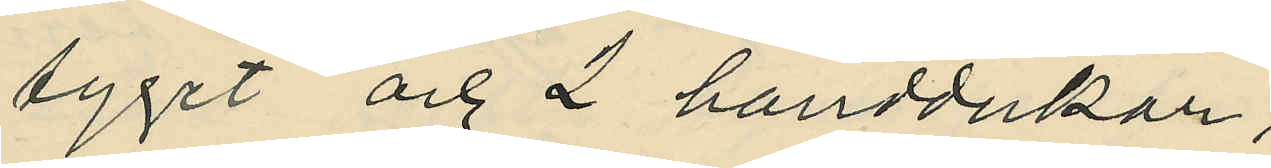tyget och 2 handdukar;
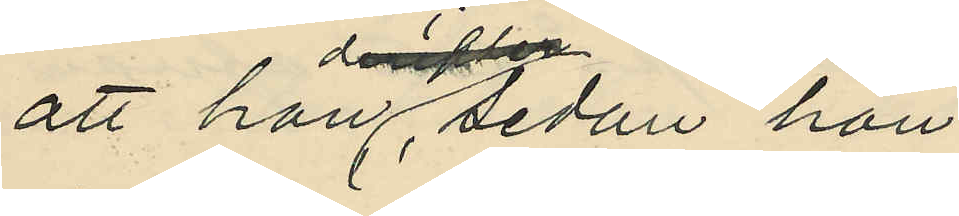att hon sedan hon
